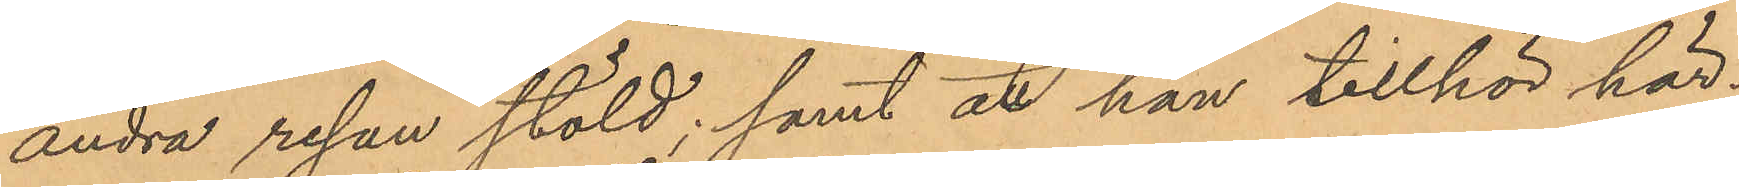andra resan stöld; samt att han tillhör här¬
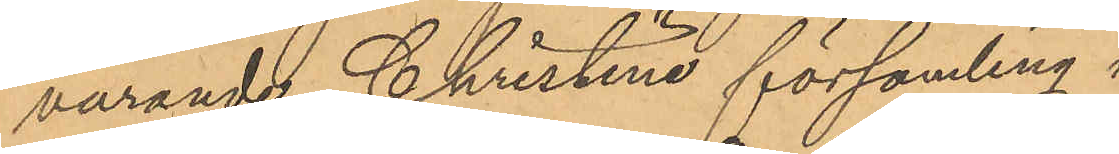varande Christine församling.
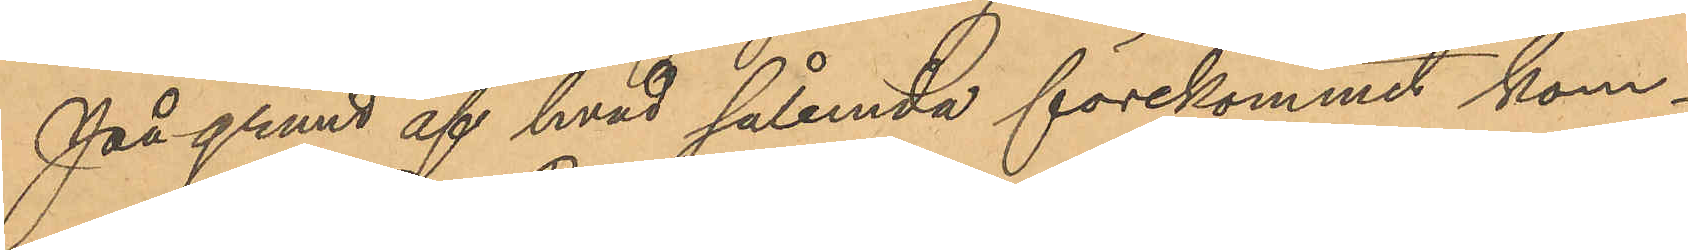På grund af hvad sålunda förekommit kom¬
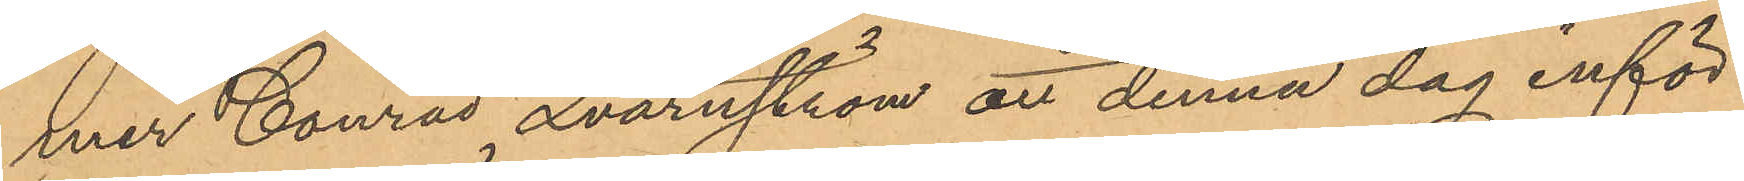mer Conrad Qvarnström att denna dag inför
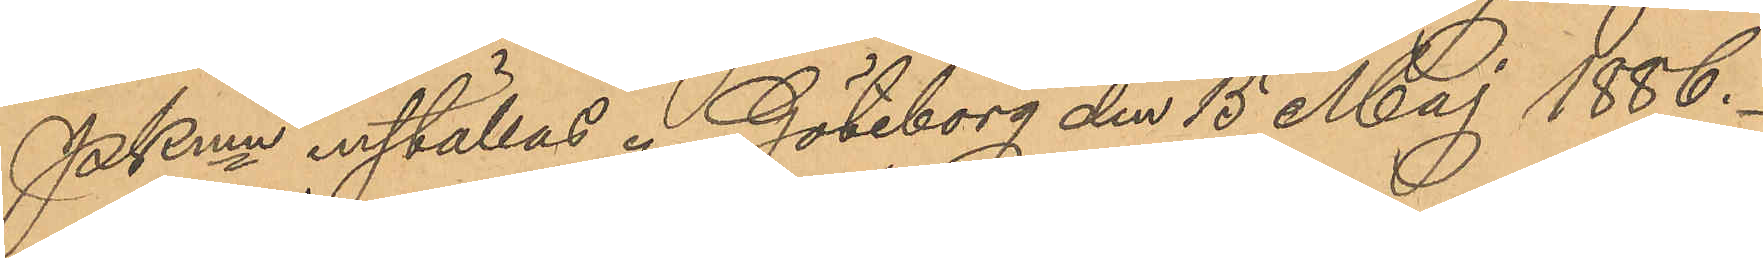PKmn inställas. Göteborg den 15 Maj 1886.
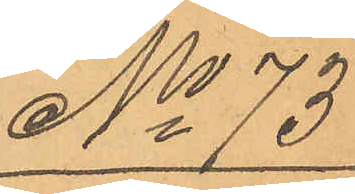No 73
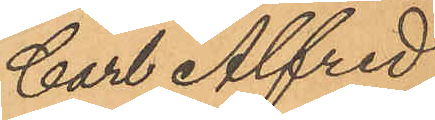Carl Alfred
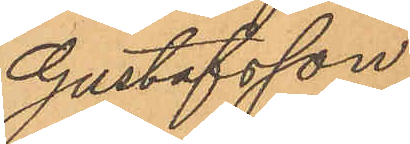Gustafsson
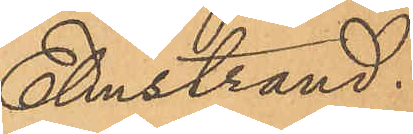Elmstrand.
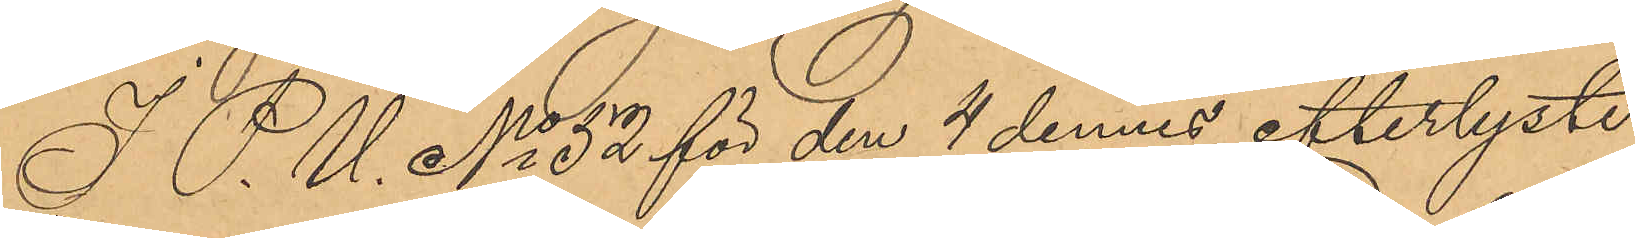I P. U. No 52 för den 4 dennes efterlyste
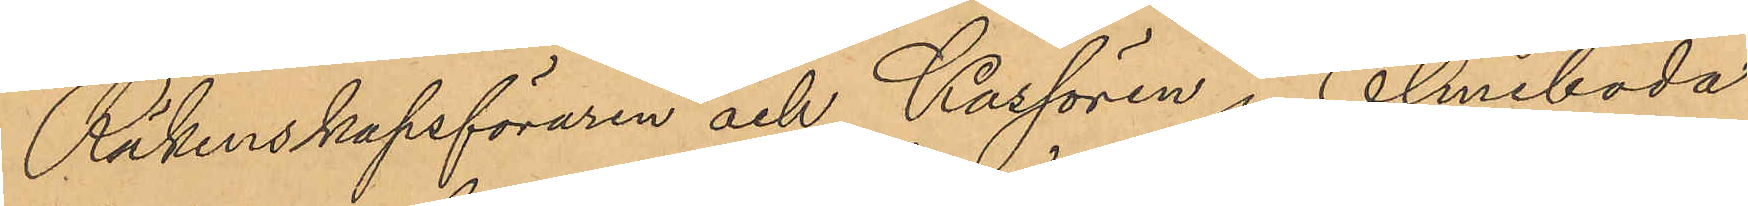Räkenskapsföraren och Kassörén i Elmeboda
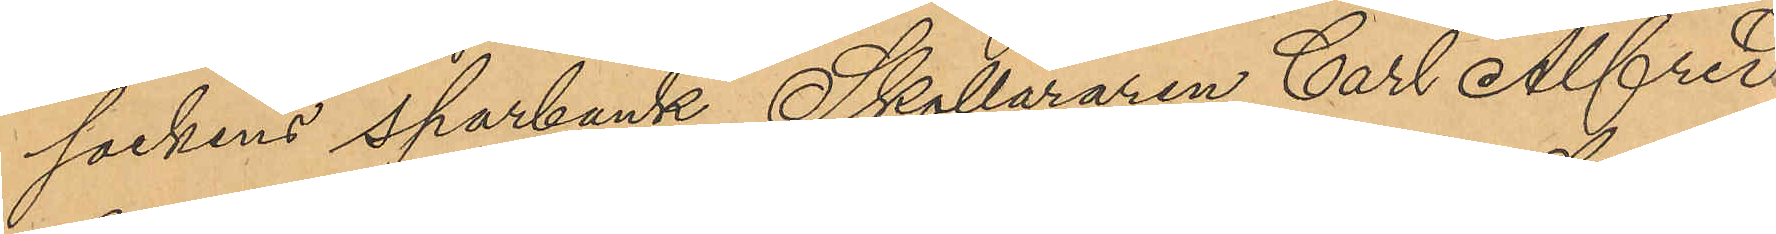sockens sparbank Skolläraren Carl Alfred
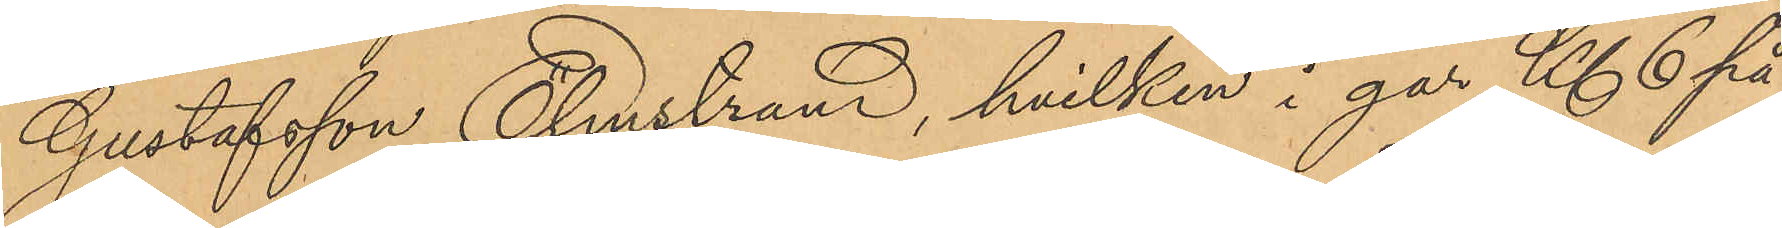Gustafsson Elmstrand, hvilken i går Kl 6 på
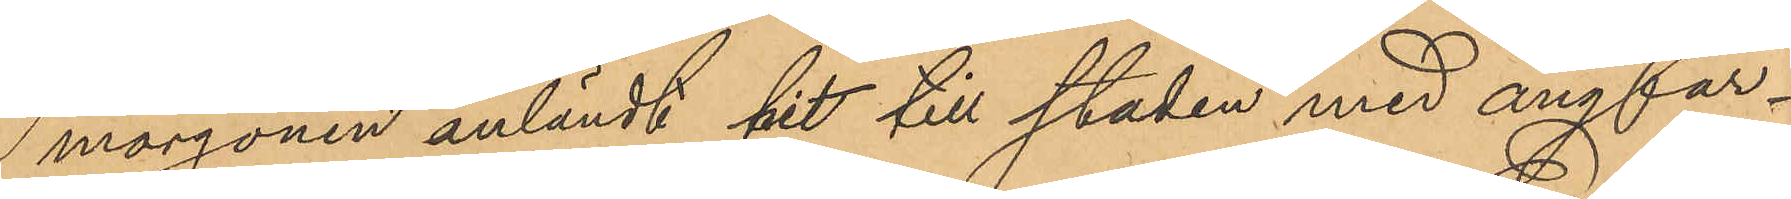morgonen anländt hit till staden med ångfar¬
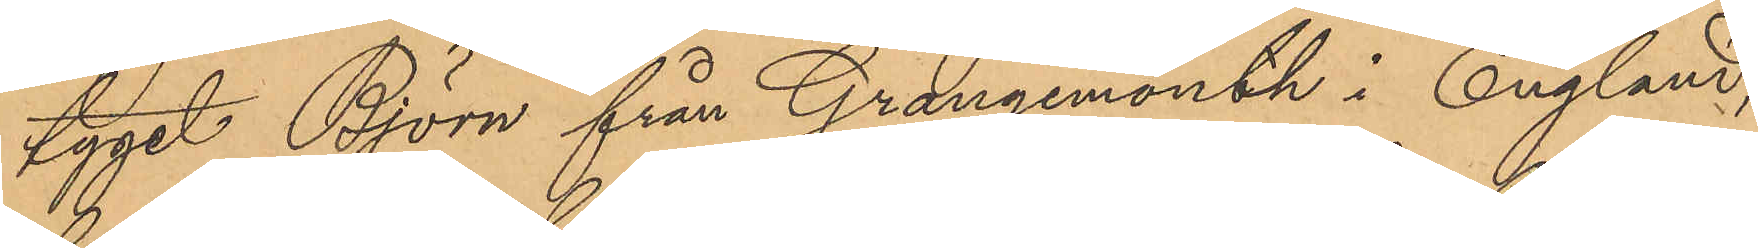tyget Björn från Grangemonth i England,
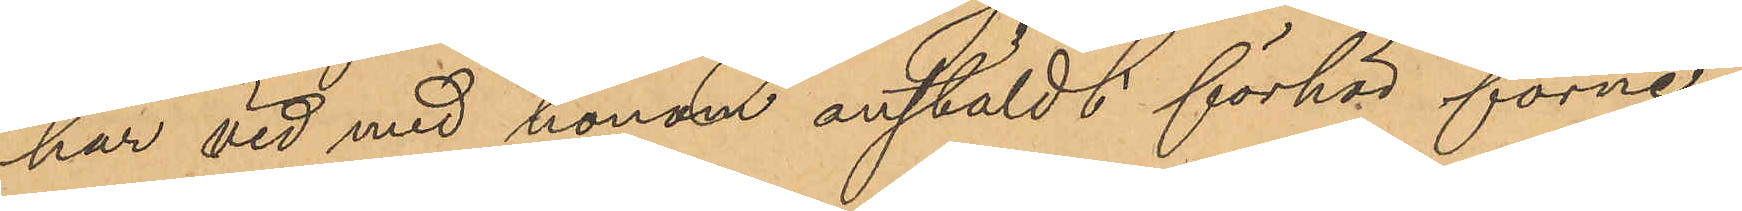har vid med honom anstäldt förhör förne¬
